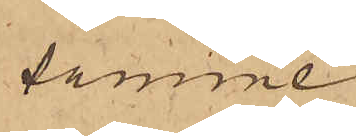samme
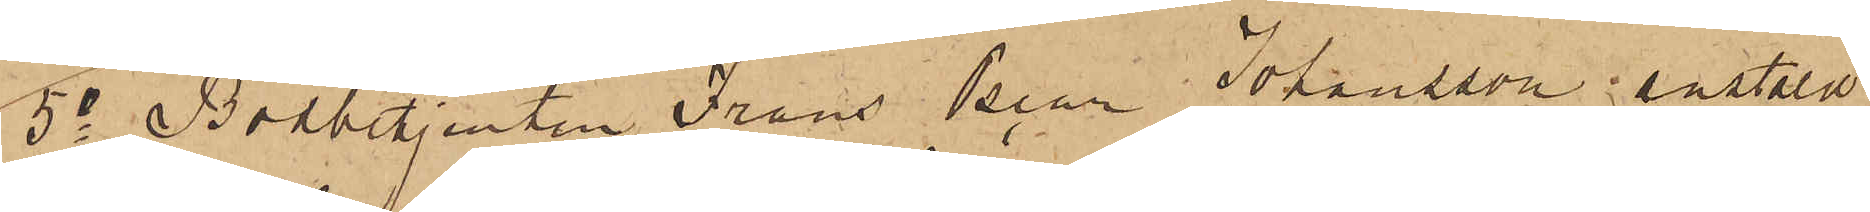5o Bodbetjenten Frans Oscar Johansson anstäld
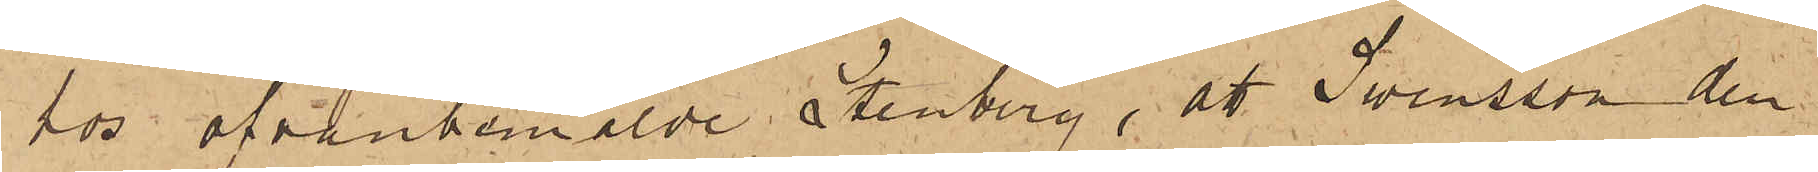hos ofvanbemälde Stenberg, att Swensson den
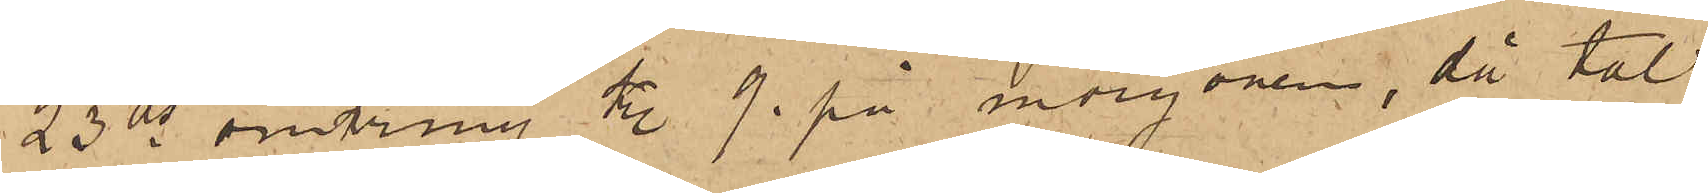23 ds omkring kl. 9. på morgonen, då tal
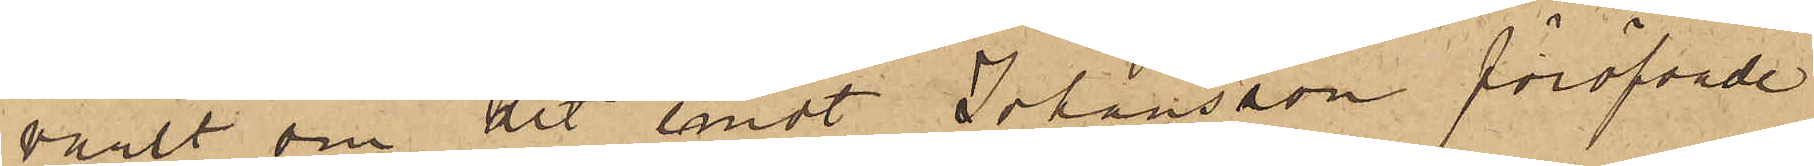varit om det emot Johansson föröfvade
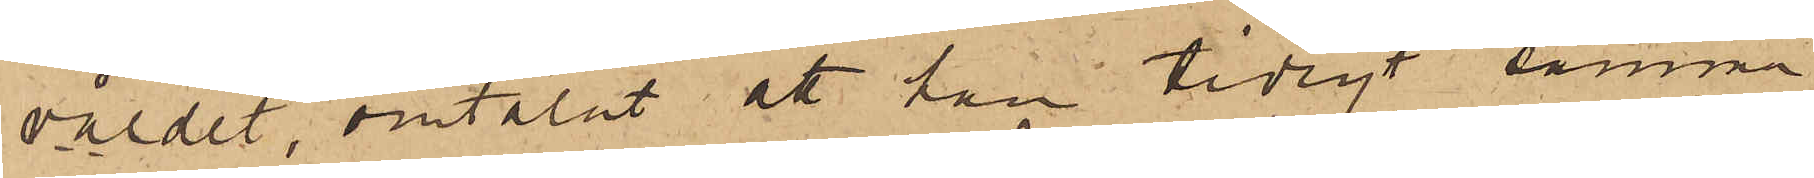våldet, omtalat att han tidigt samma
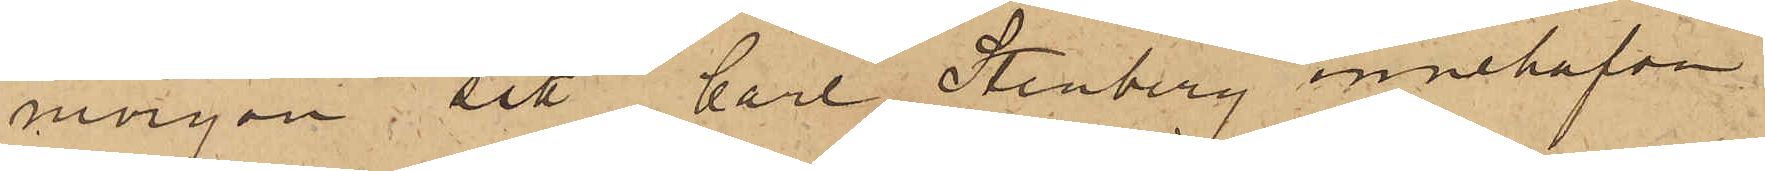morgon sett Carl Stenberg innehafva
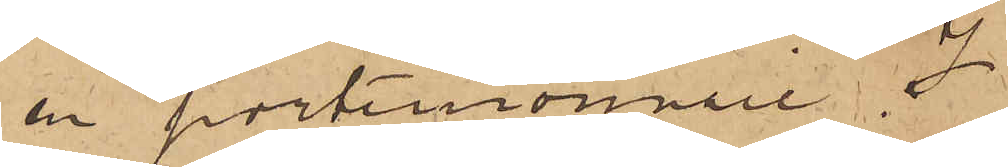en portemonnaie.
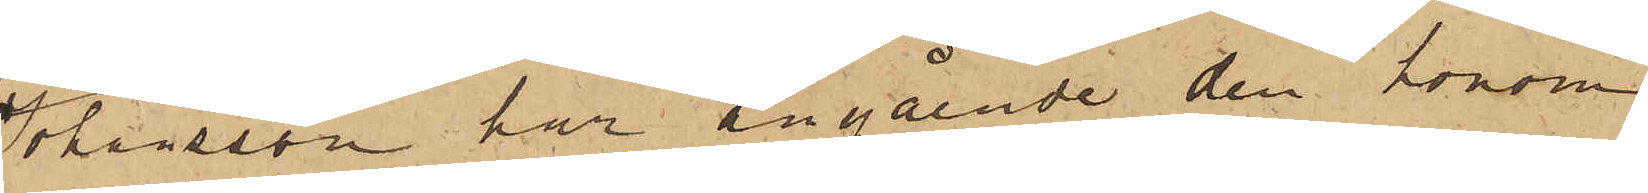Johansson har angående den honom
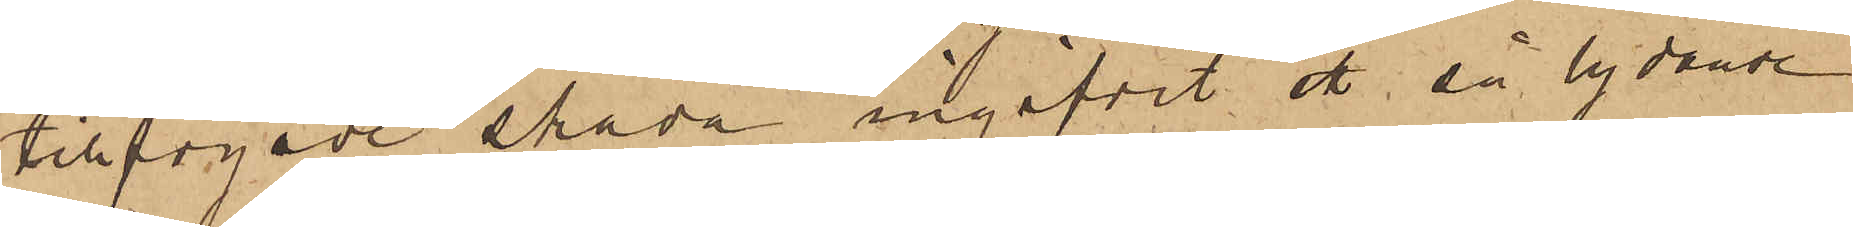tillfogade skada ingifvit ett så lydande
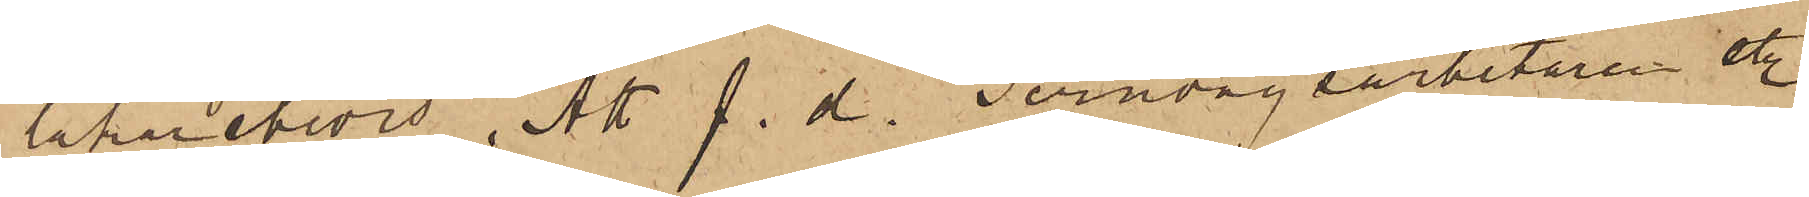lakarebevis, "Att f. d. Jernvägsarbetaren etc
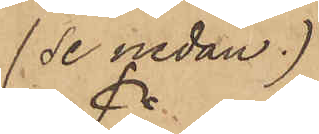(Se nedan)
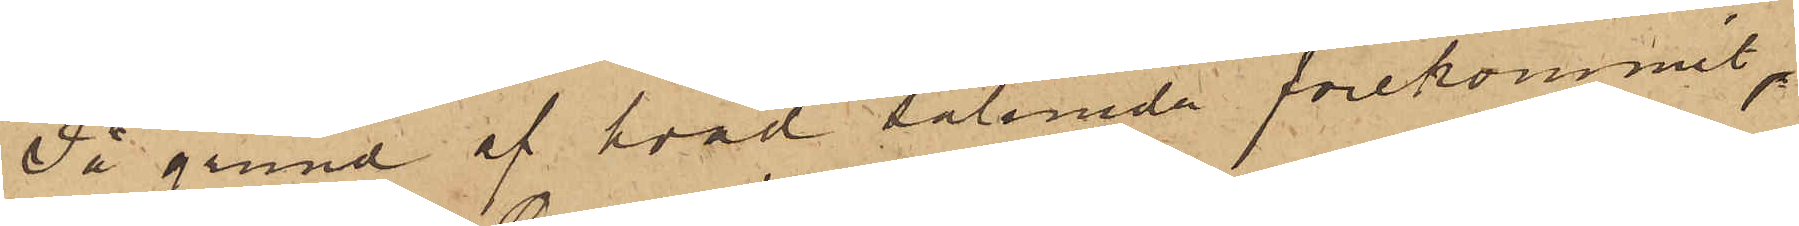På grund af hvad sålunda förekommit,
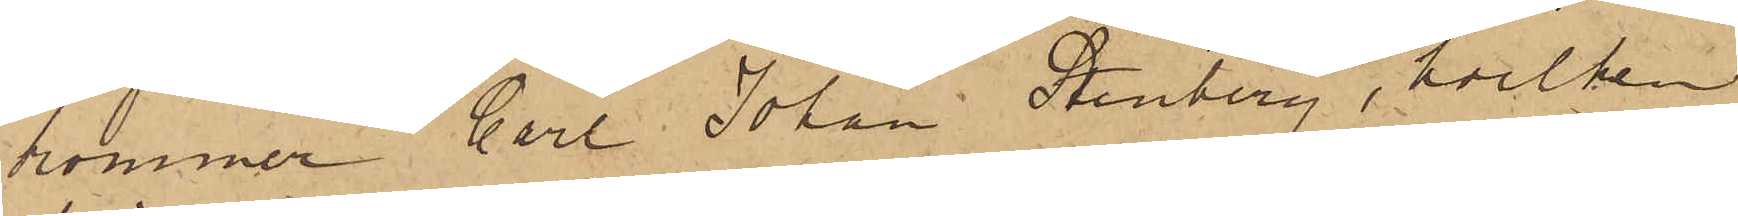kommer Carl Johan Stenberg, hvilken
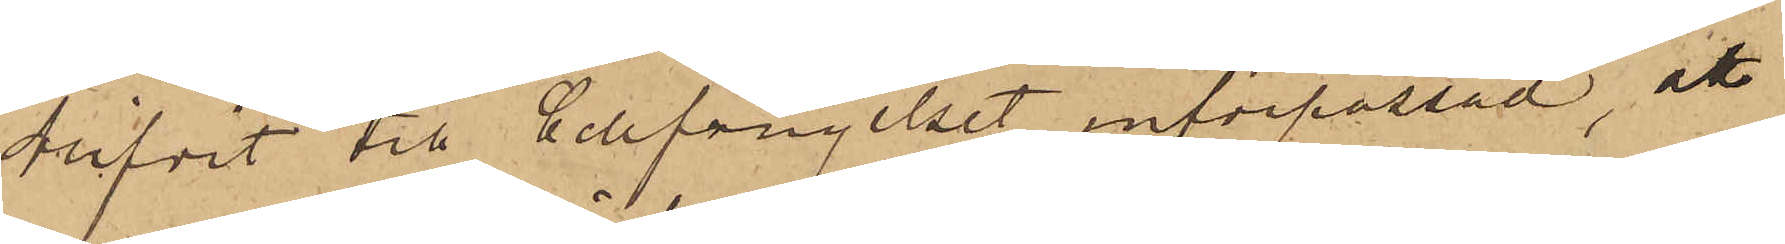blifvit till Cellfängelset införpassad, att
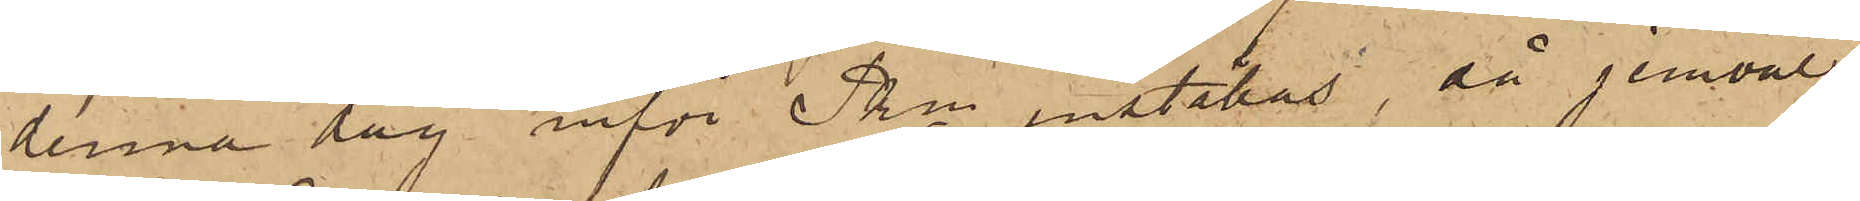denna dag inför Pkn inställas, då jemväl
